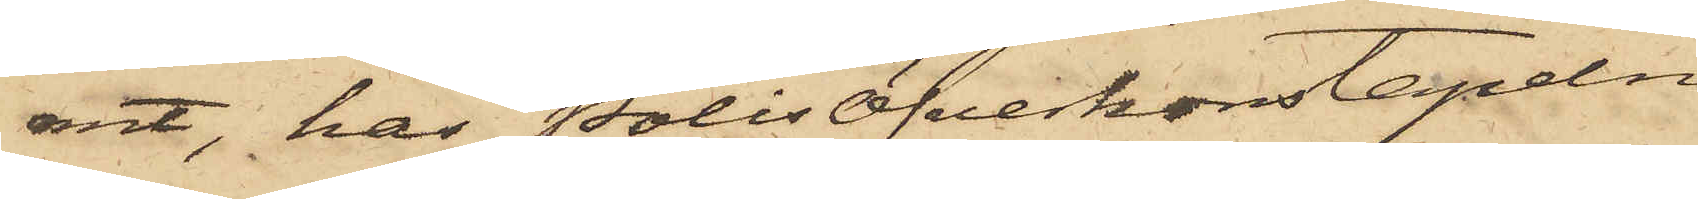rmt, har PolisÖfverkonstapeln
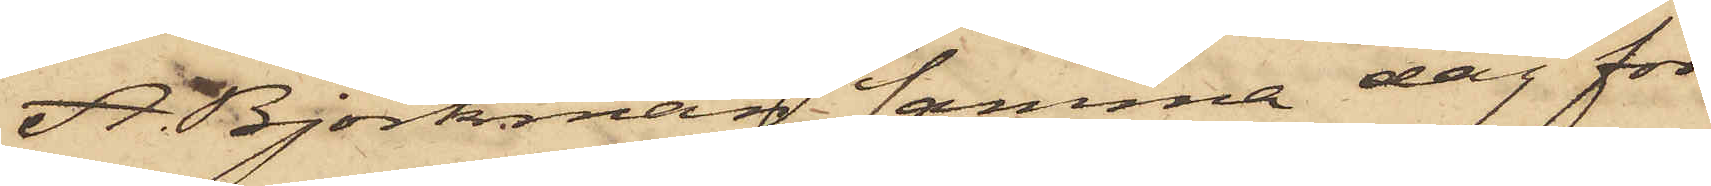A. Björkman samma dag för
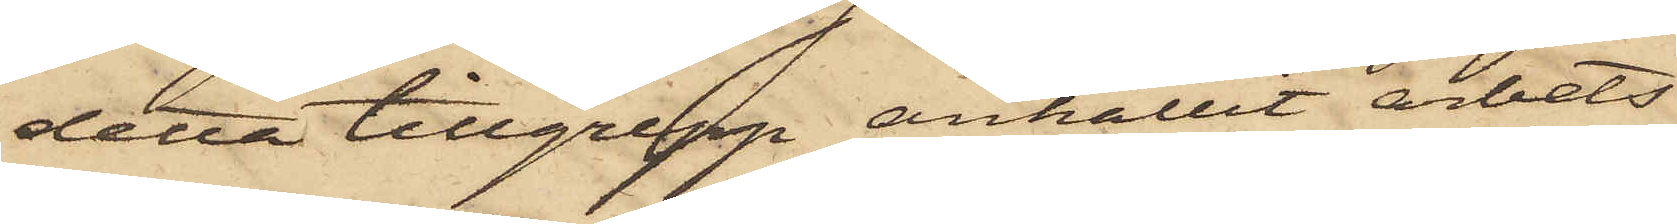detta tillgrepp anhållit arbets¬
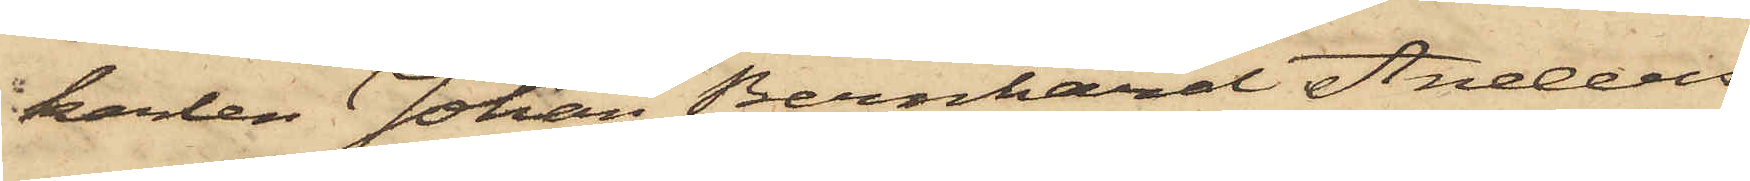karlen Johan Bernhard Anders¬
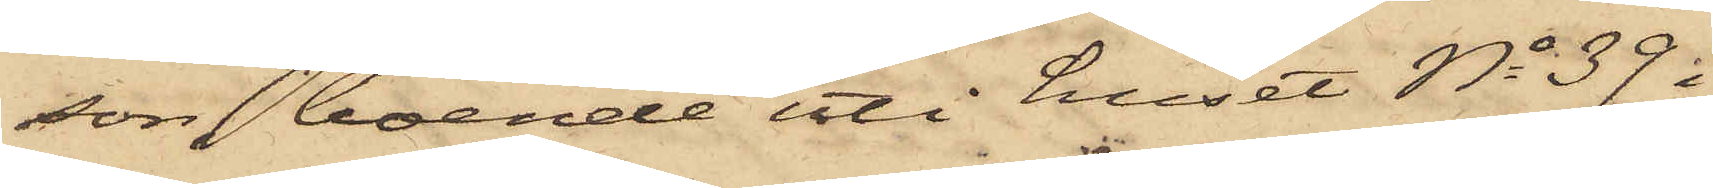son, boende uti huset No 39 i
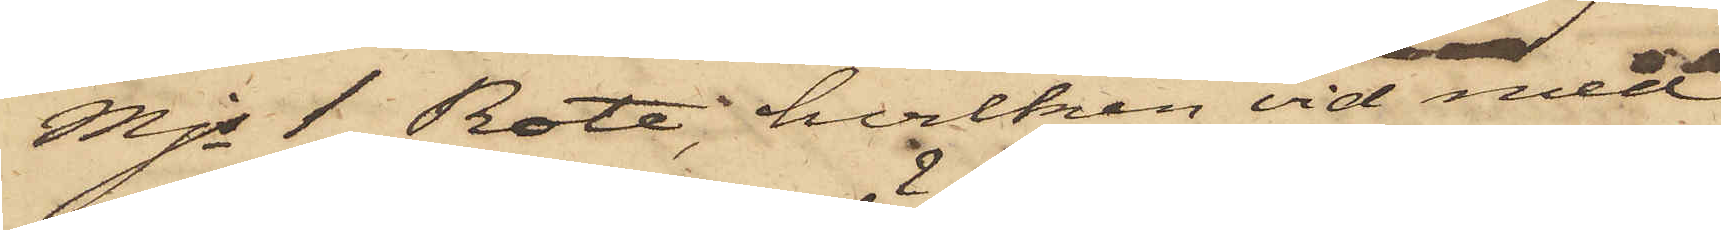Mjs 1 Rote, hvilken vid med
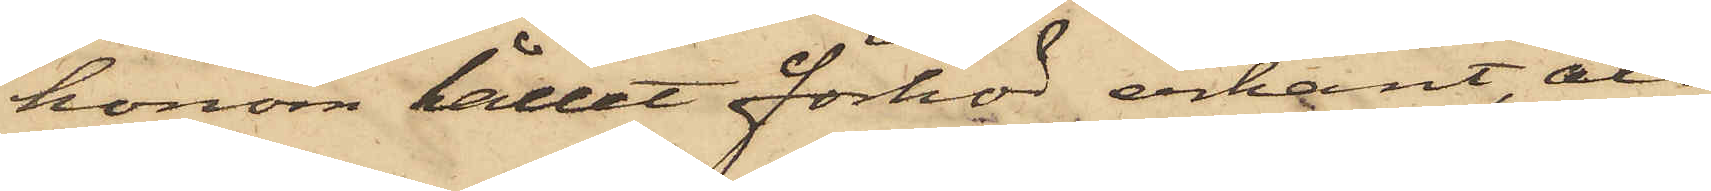honom hållet förhör erkänt, att
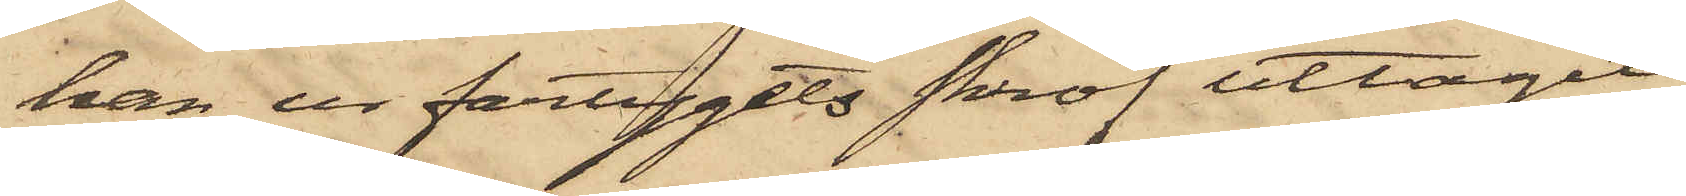han ur fartygets skrof uttagit
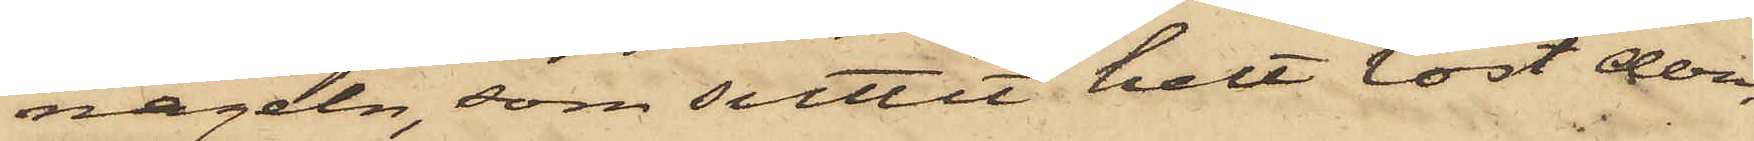nageln, som suttit helt löst deri,
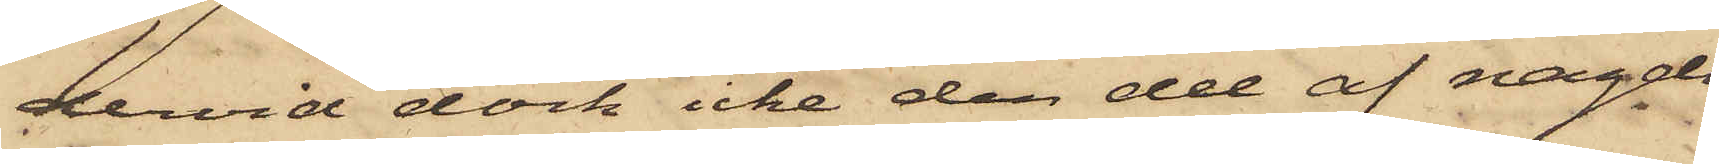dervid dock icke den del af nageln,
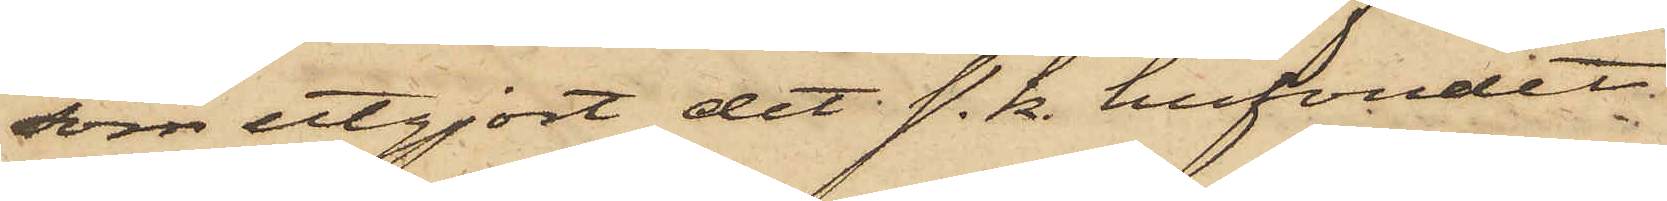som utgjort det s. k. hufvudet
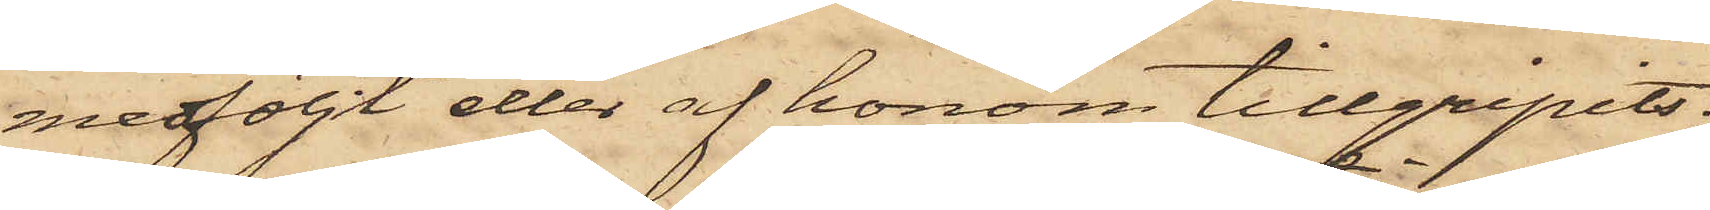medföljt eller af honom tillgripits;
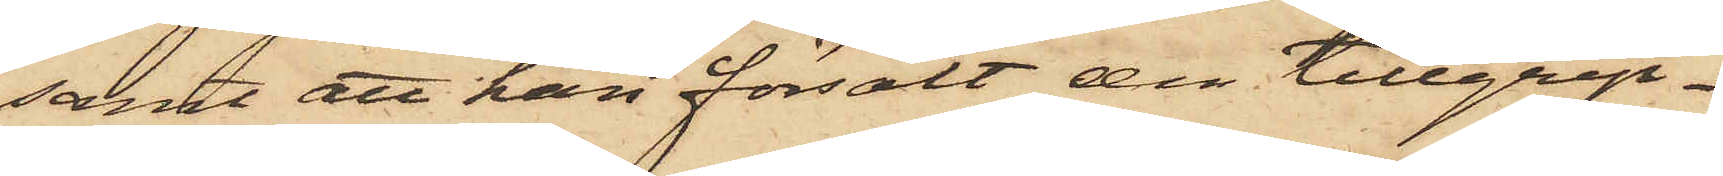samt att han försålt den tillgrip¬
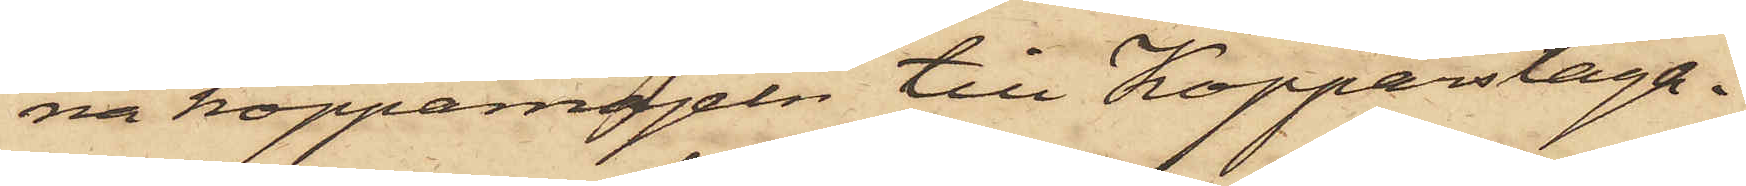na kopparnageln till Kopparslaga¬
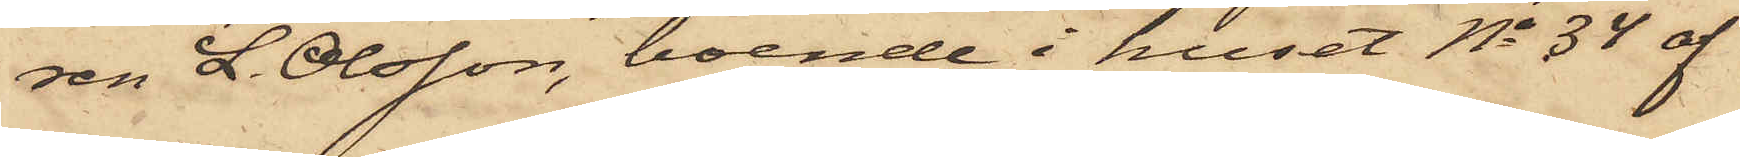ren L. Olsson, boende i huset No 34 af
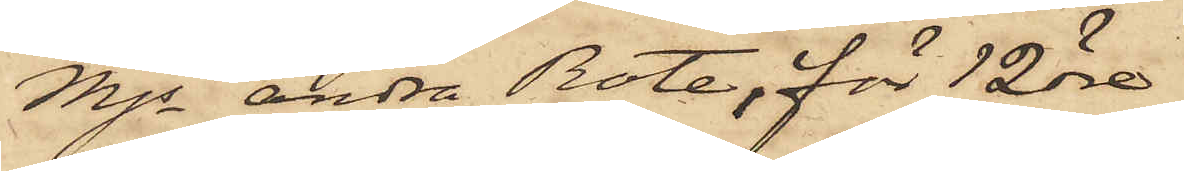Mjs andra Rote, för 12 öre.
